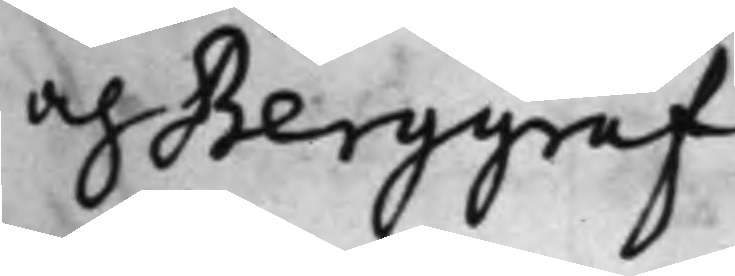och Berggraf.
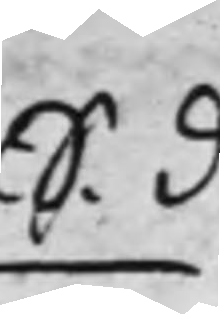S. d
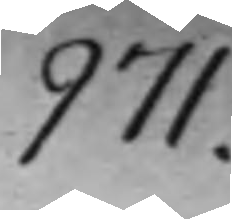971.
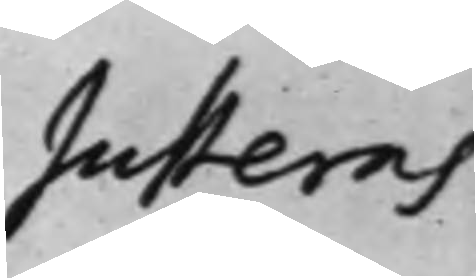Justeras
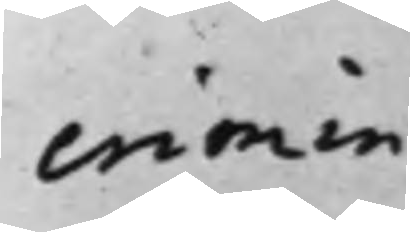crimin.
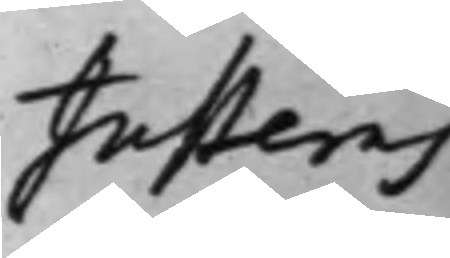Justeras
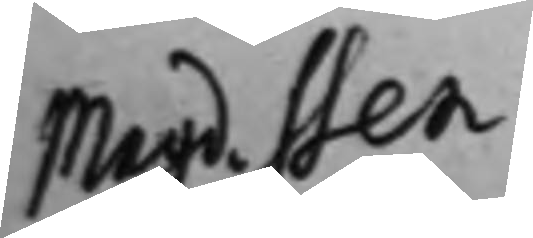Magd. Sten¬
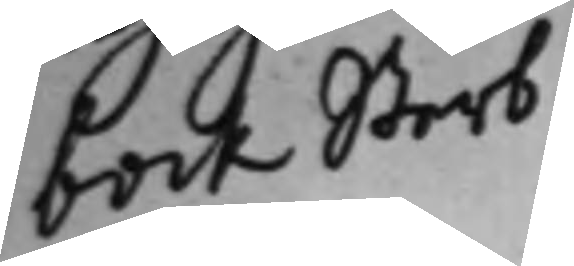bock Sterb¬
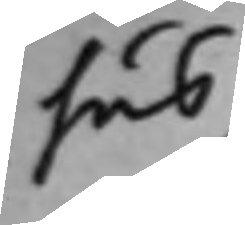hus.
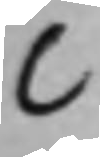C
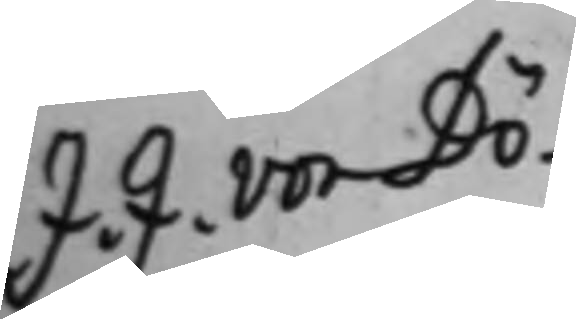J. J. von Dö¬
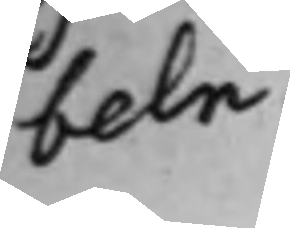beln.
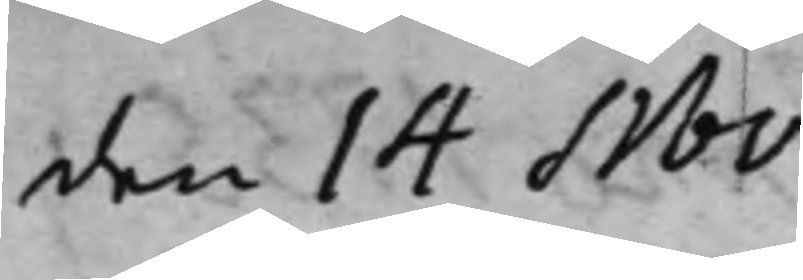den 14 Nov.
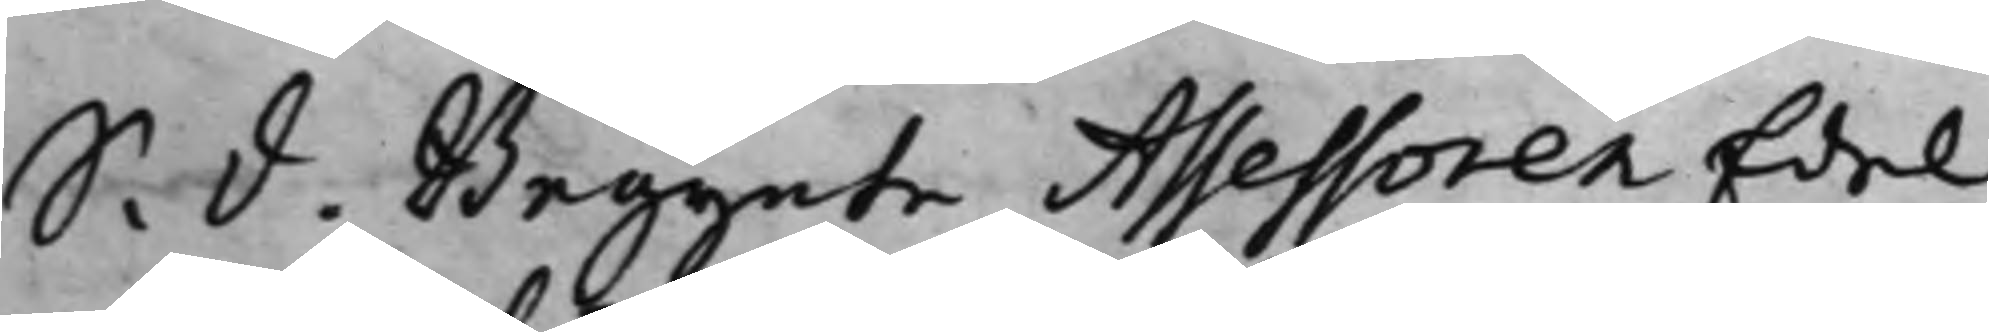S. d. Begynte Assessoren Edel
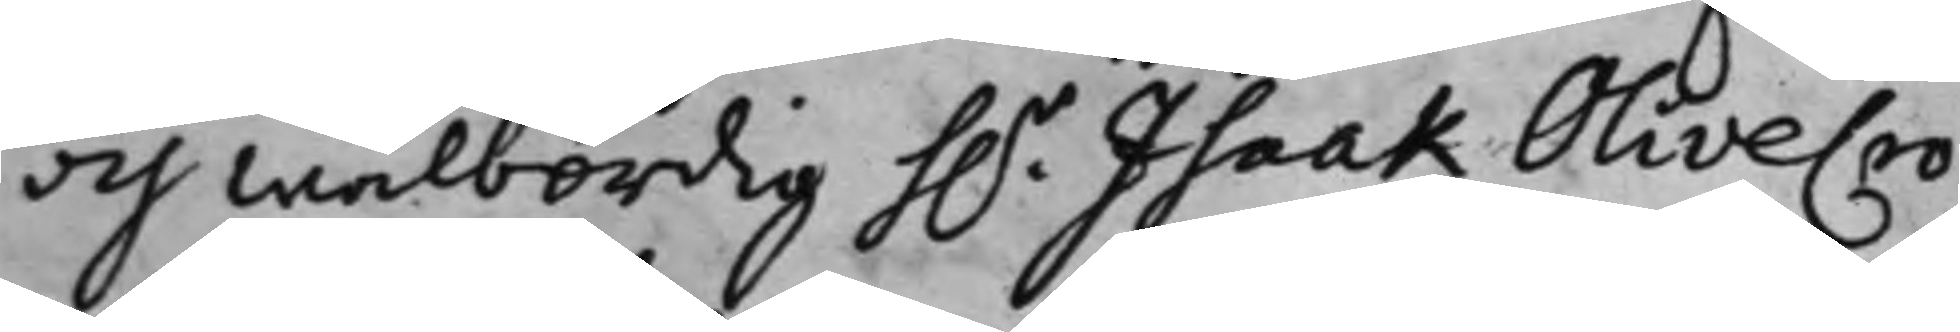och Wälbördig h.r Isaak Olivecro¬
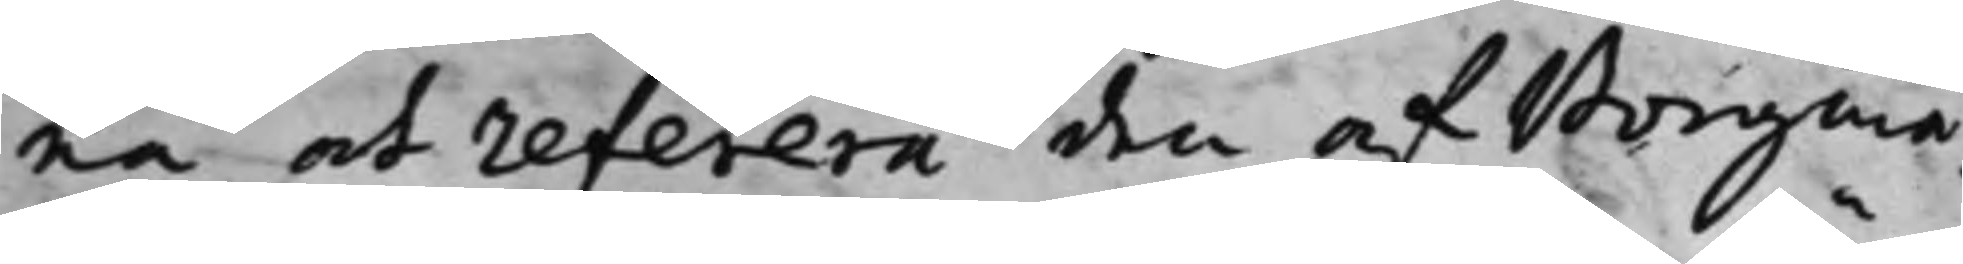na at referera den af Borgmä¬
